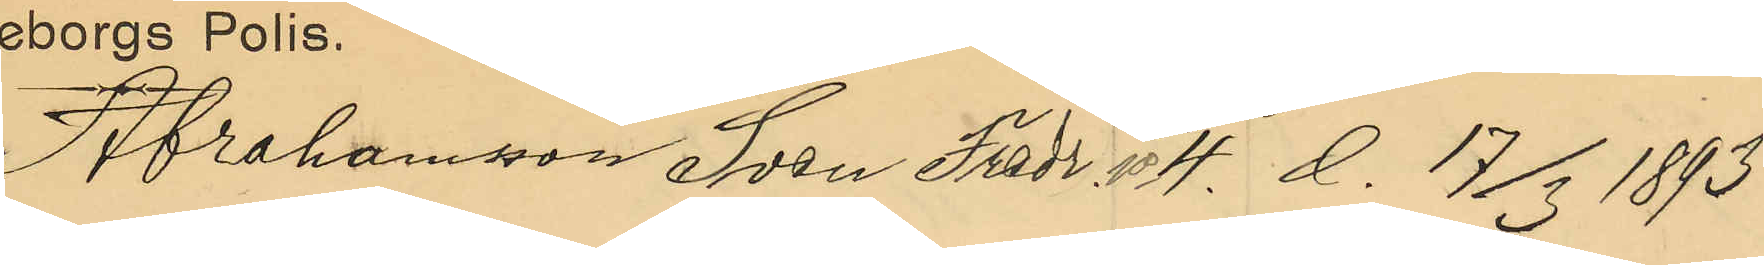Abrahamsson Sven Fredr. No 4. d. 17/3 1893
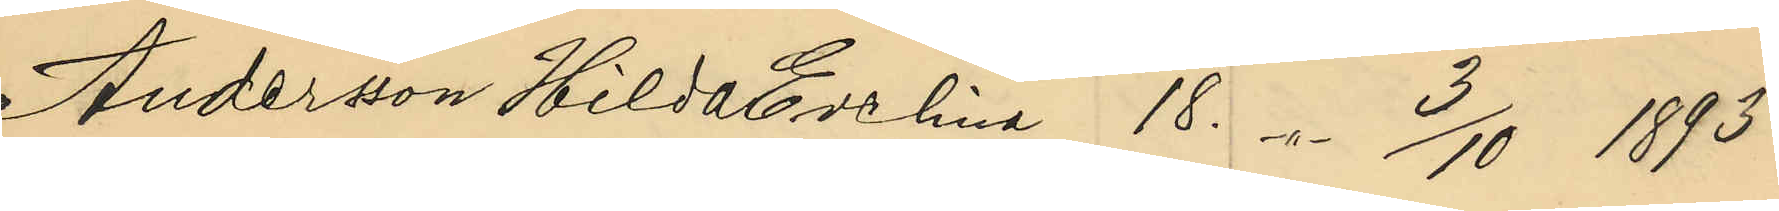Anderson Hilda Evelina 18. -"- 3/10 1893
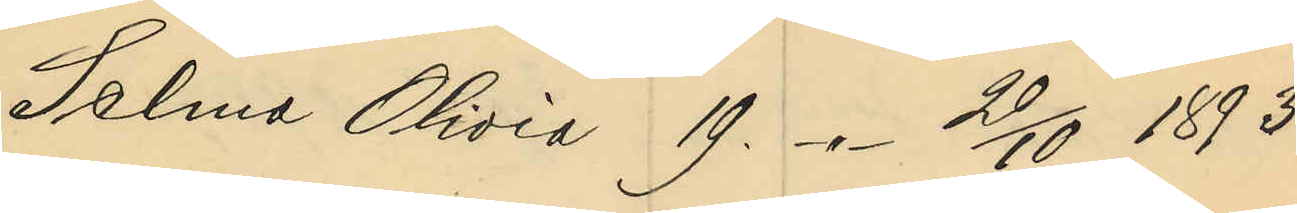Selma Olivia 19. -"- 20/10 1893
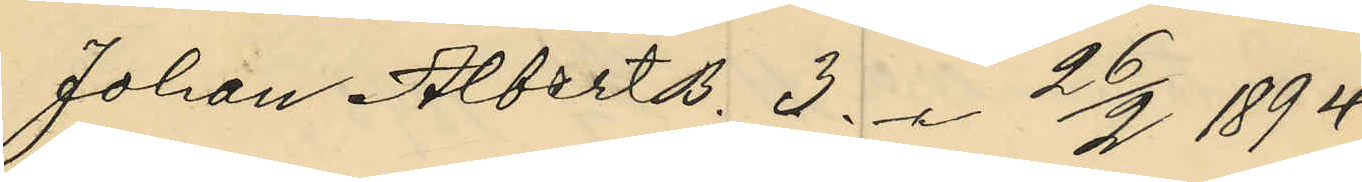Johan Albert B. 3. -"- 26/2 1894
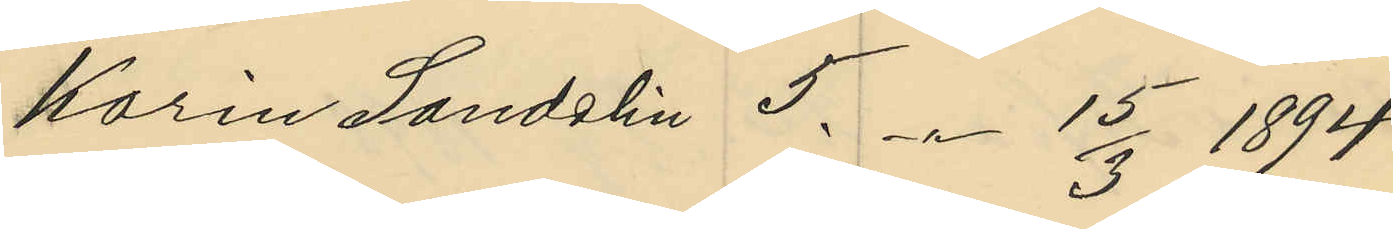Karin Sandelin 5. -"- 15/3 1894
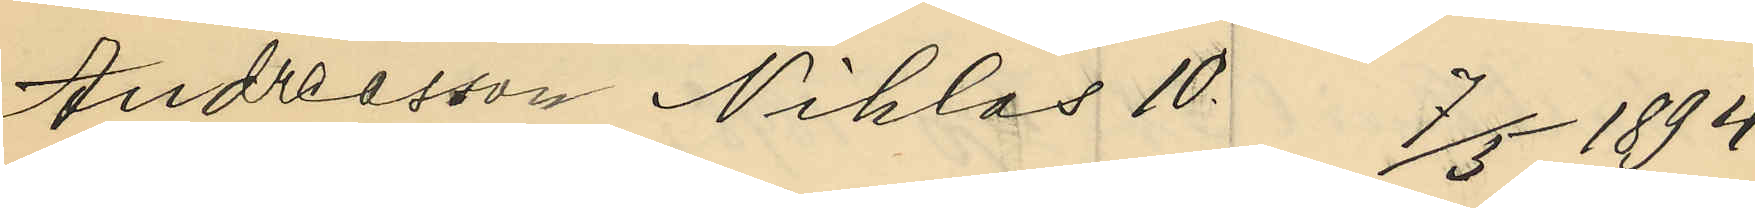Andreasson Niklas 10. 7/5 1894
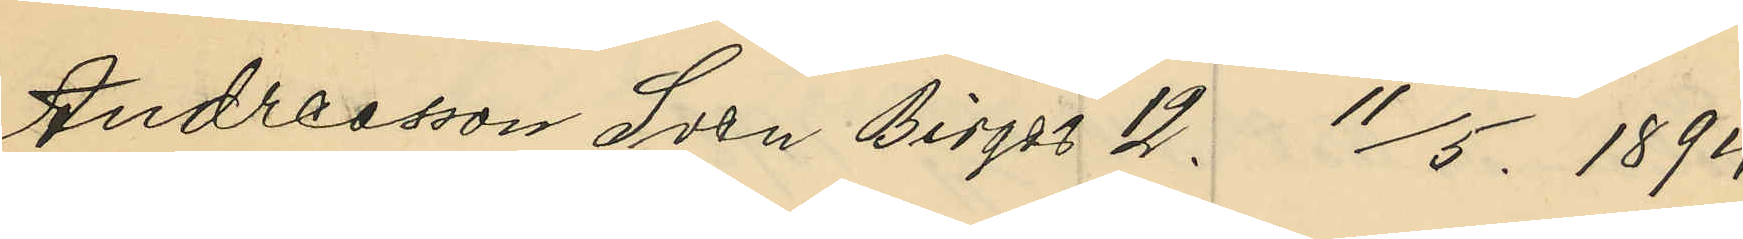Andressson Sven Birger 12. 11/5 1894
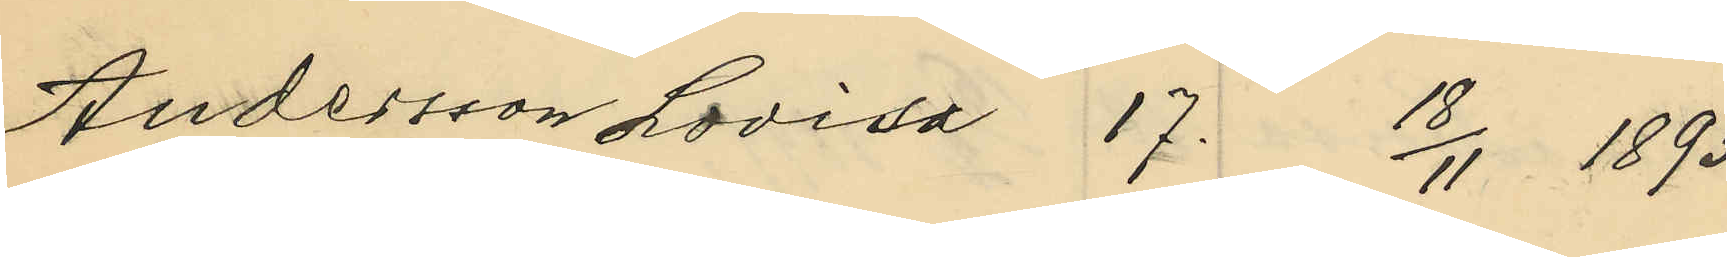Andersson Lovisa 17. 18/11 1895
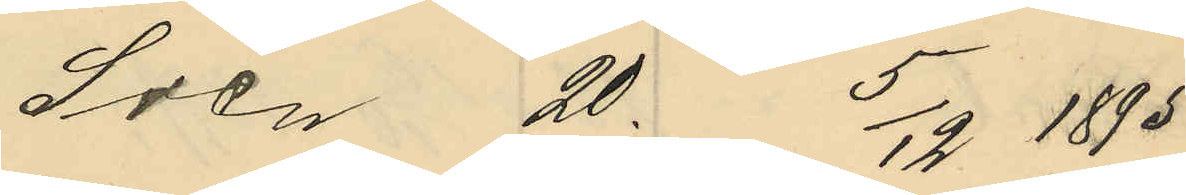Sven 20. 5/12 1895
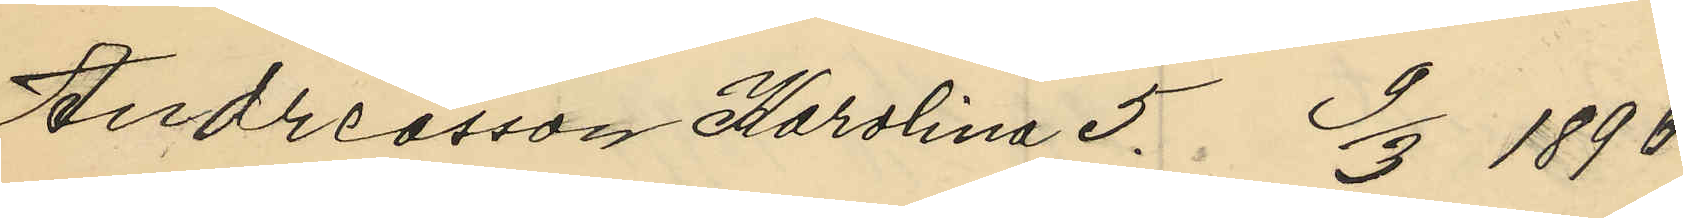Andreasson Karolina 5. 9/3 1896
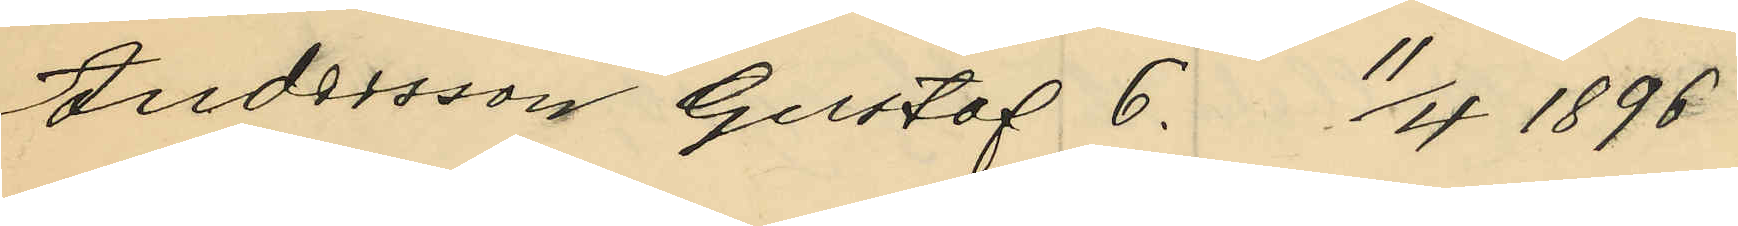Andersson Gustaf 6. 11/4 1896
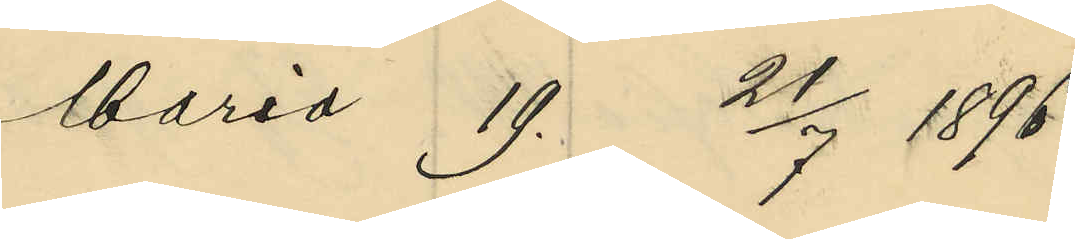Maria 19. 21/7 1896
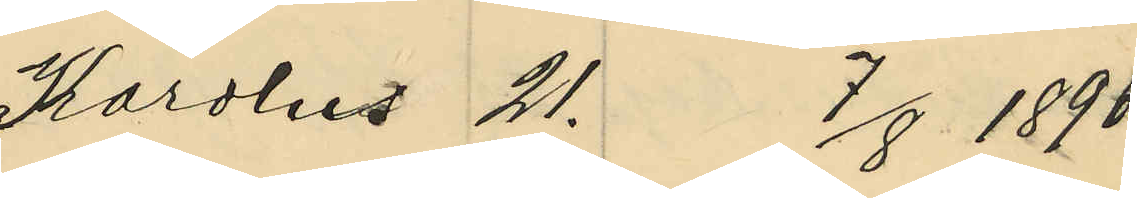Karolus 21. 7/8 1896
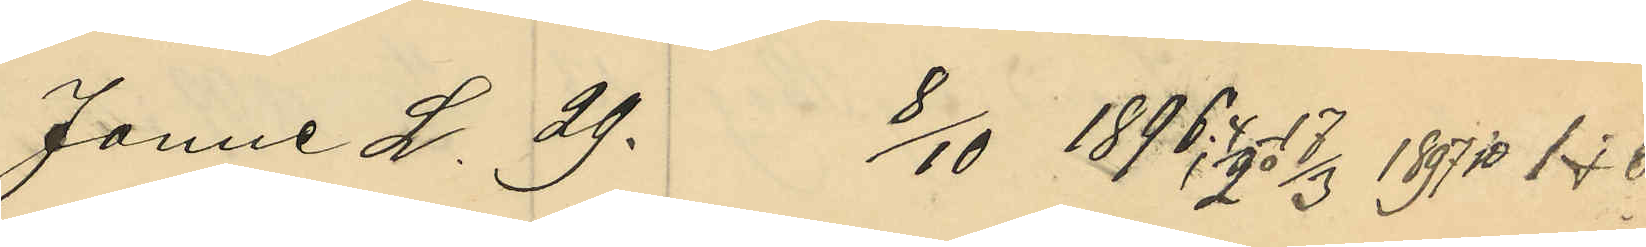Janne L. 29. 8/10 1896; 4/2 o 17/3 1897 1 & 6.
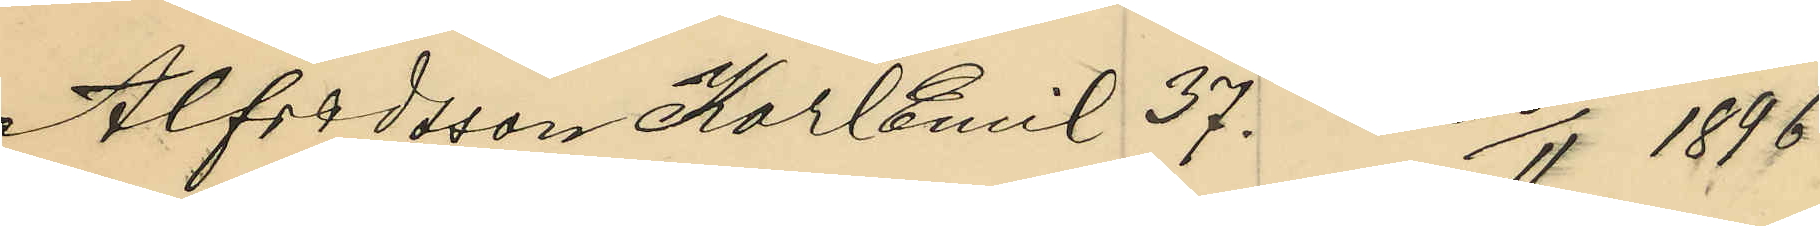Alfredsson Karl Emil 37. 28/11 1896.
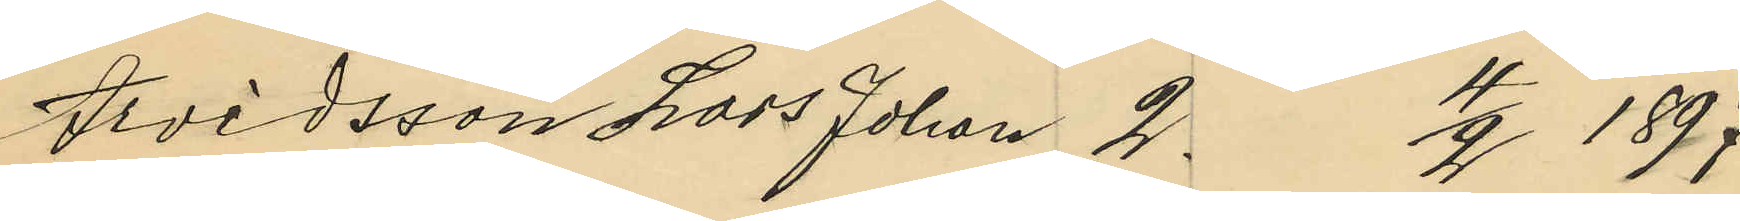Arvidsson Lars Johan 2. 4/2 1897
